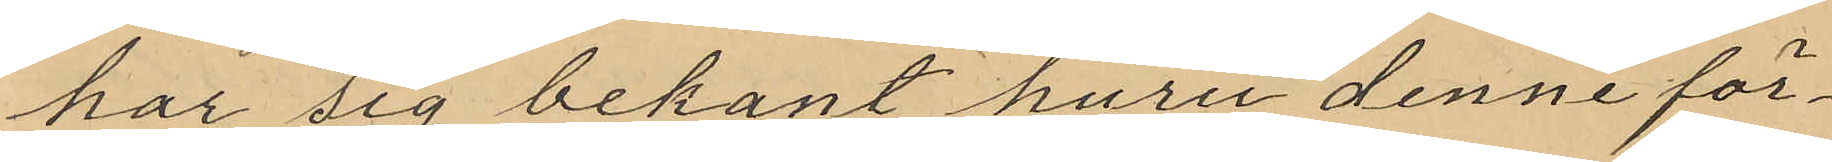har sig bekant huru denne för¬
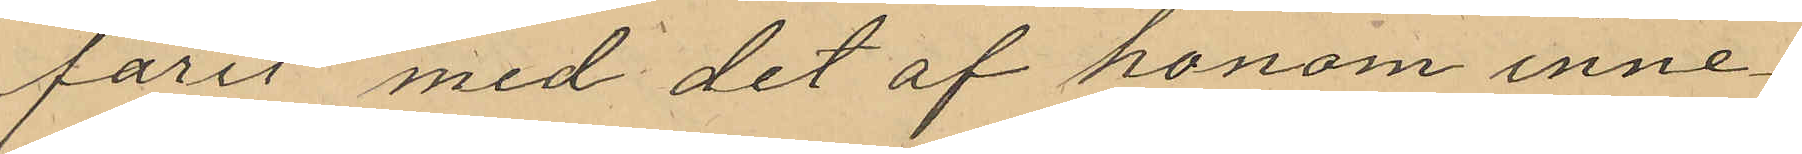farit med det af honom inne¬
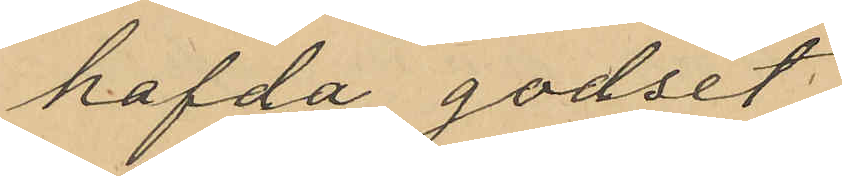hafda godset.
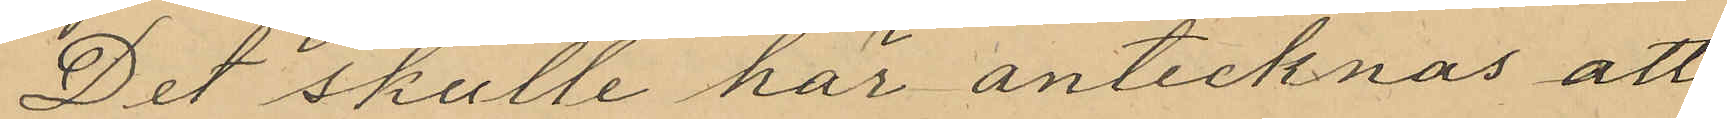Det skulle här antecknas att
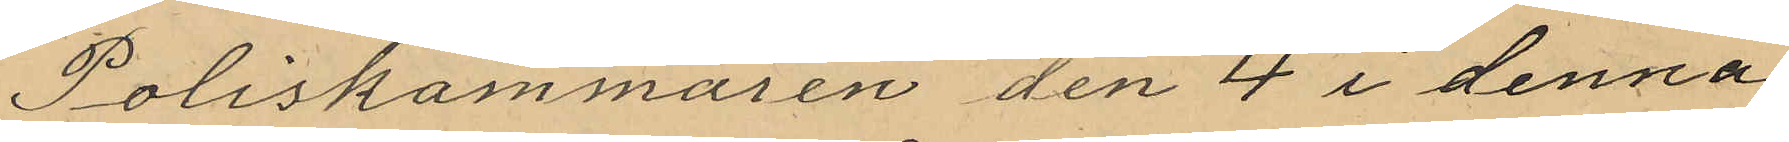Poliskammaren den 4 i denna
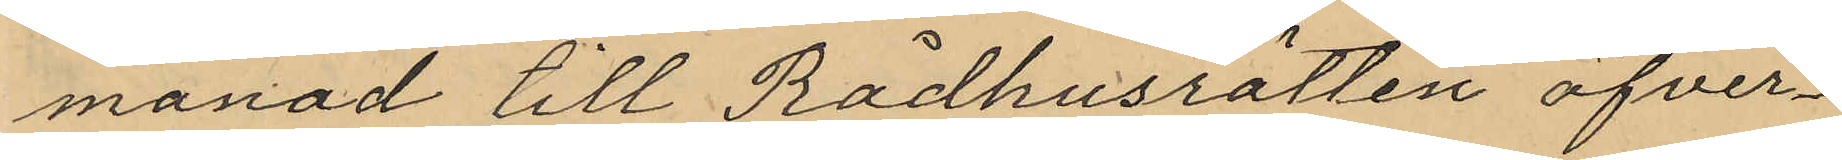månad till Rådhusrätten öfver¬
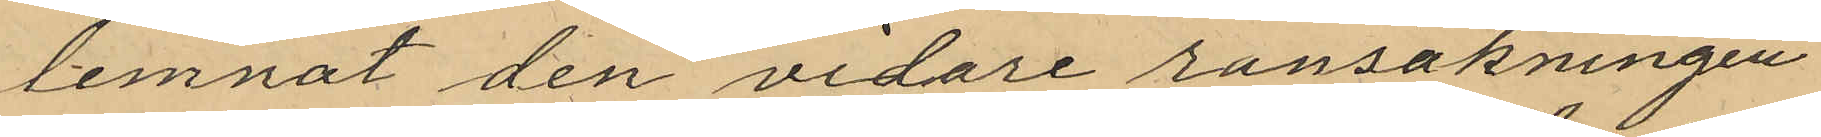lemnat den vidare ransakningen
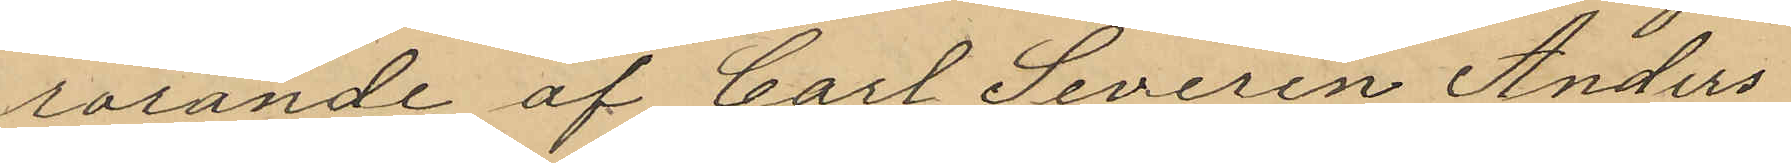rörande af Carl Severen Anders¬
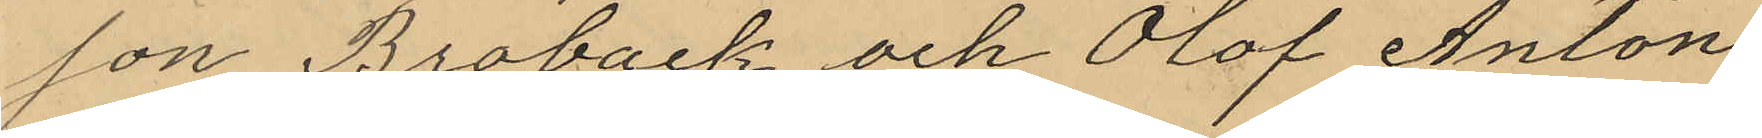son Broback och Olof Anton
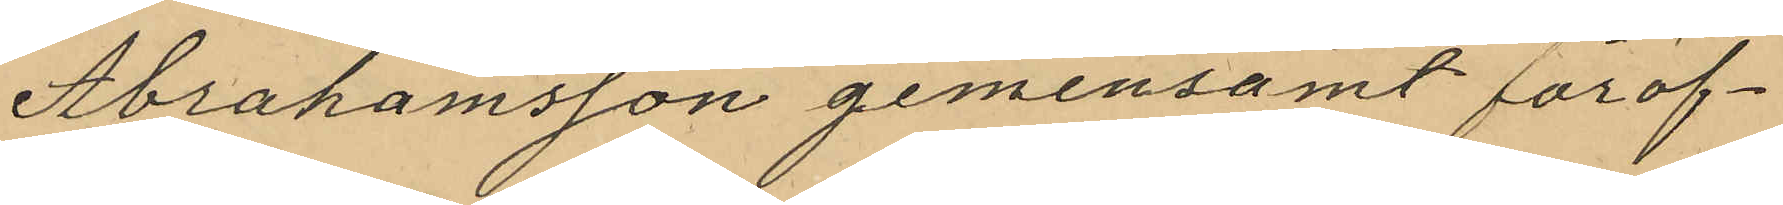Abrahamsson gemensamt föröf¬
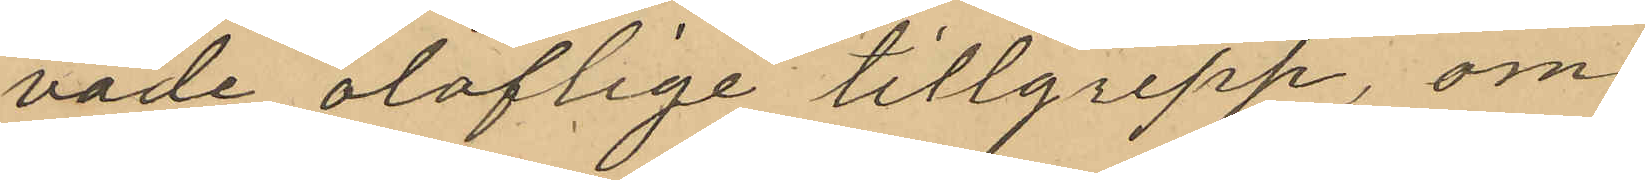vade oloflige tillgrepp, om
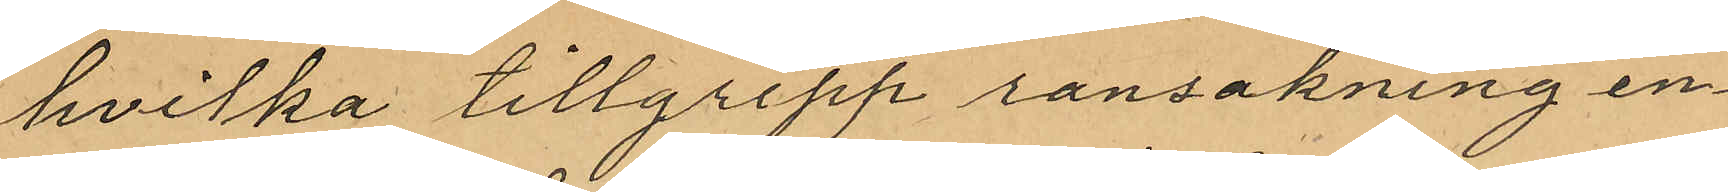hvilka tillgrepp ransakning en¬
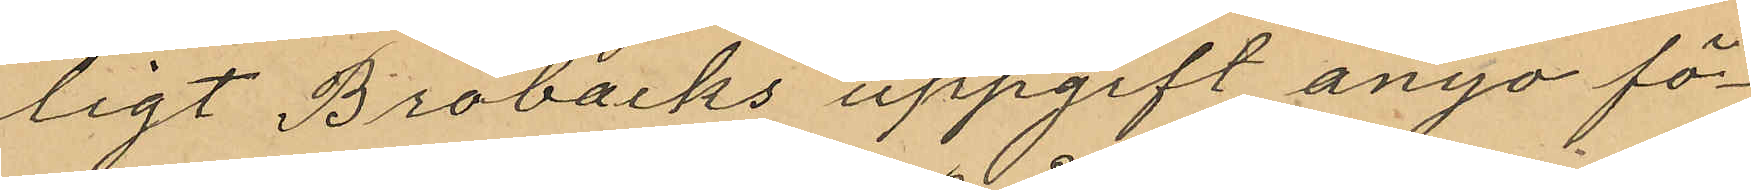ligt Brobacks uppgift ånyo fö¬
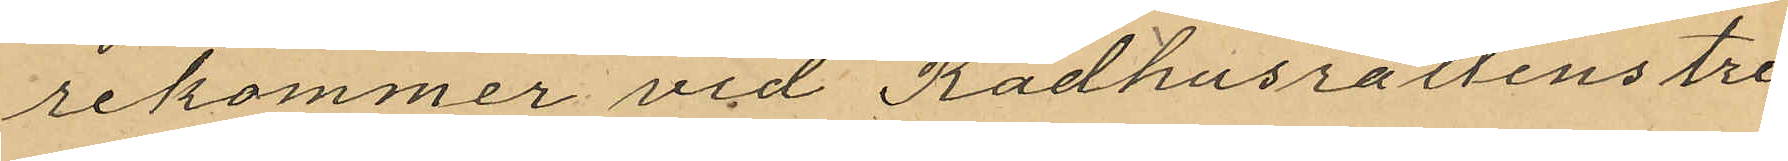rekommer vid Rådhusrättens tre¬
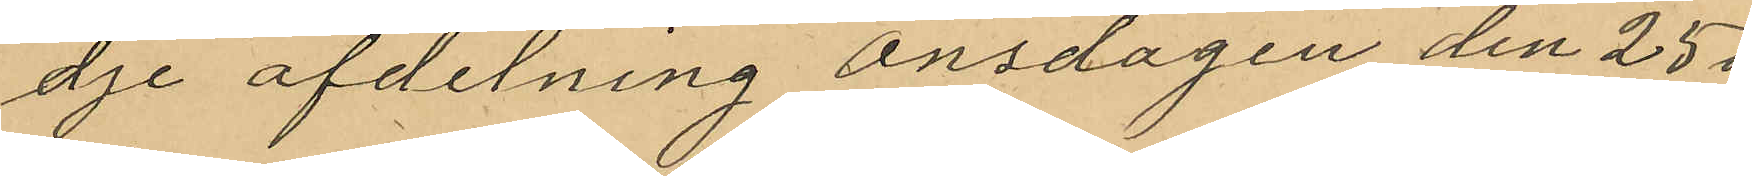dje afdelning onsdagen den 25 i
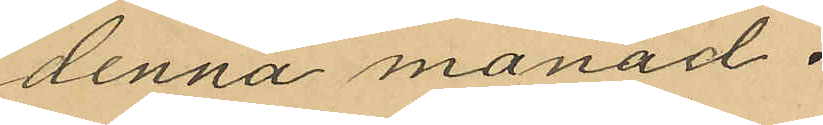denna månad.
